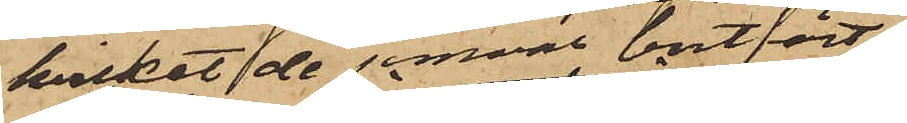hvilket de jemväl bortfört
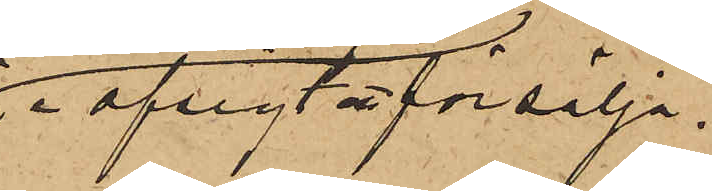i afsigt att försälja.
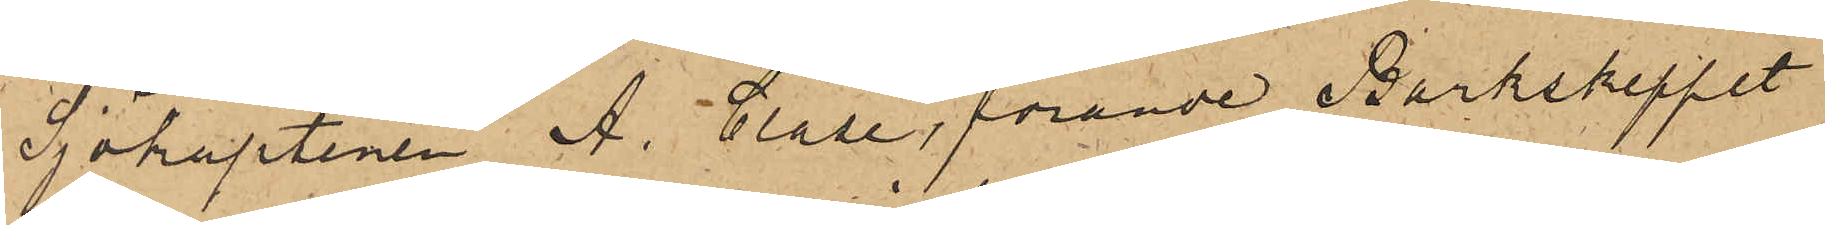Sjökaptenen A. Clase, förande Barkskeppet
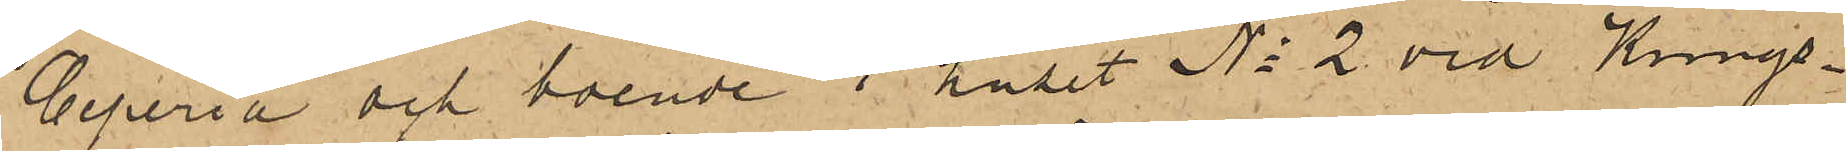Ceperia och boende i huset No 2 vid Kungs¬
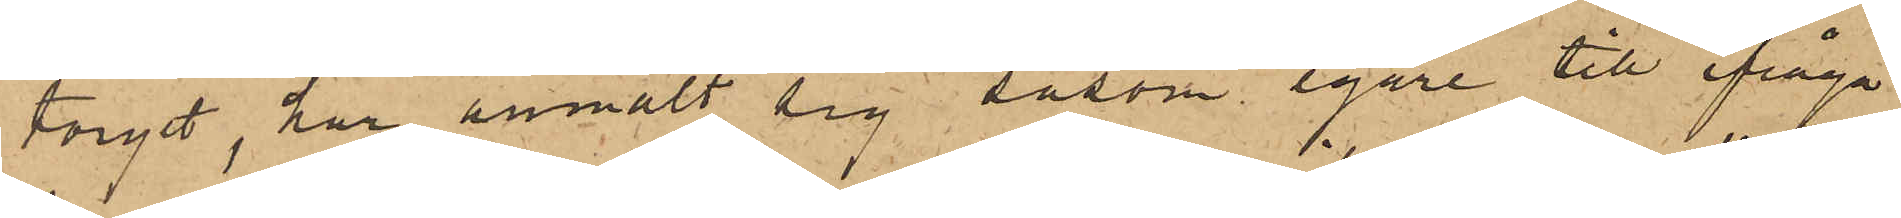torget, har anmält sig såsom egare till ifråga¬
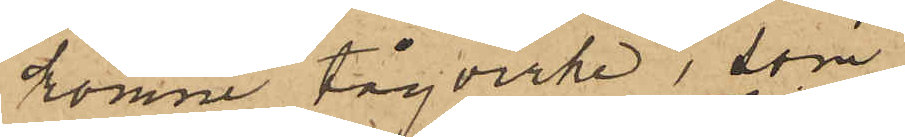komne tågvirke, som
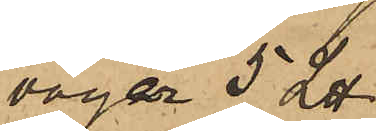väger 5 L℔
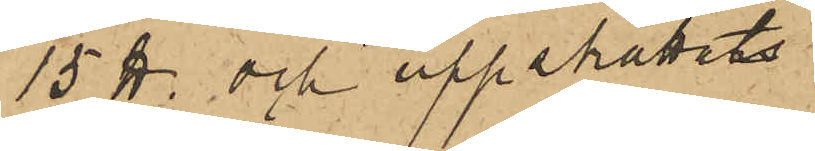15 ℔. och uppskattats
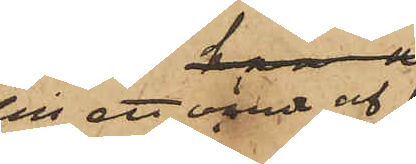till ett värde af
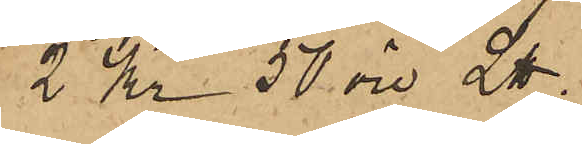2 Kr 50 öre L℔.
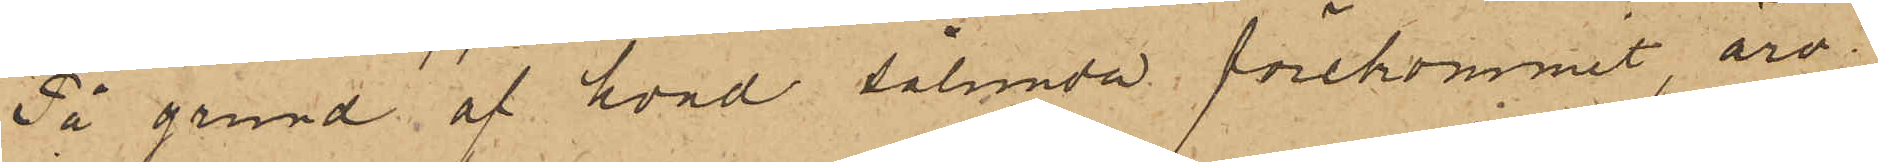På grund af hvad sålunda förekommit, äro
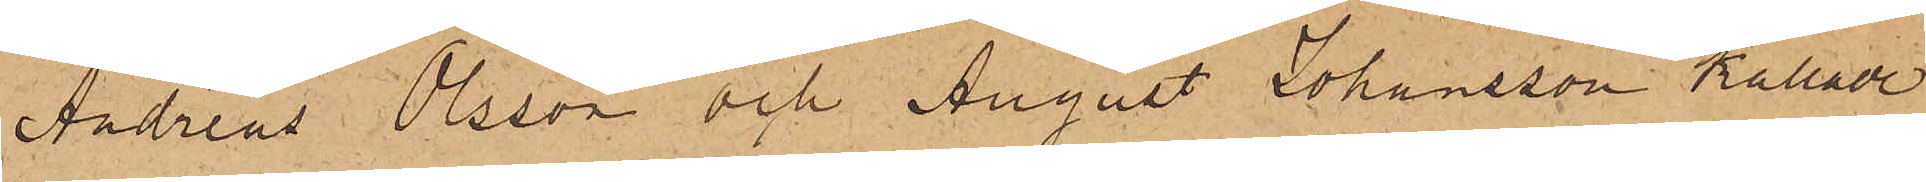Andreas Olsson och August Johansson kallade
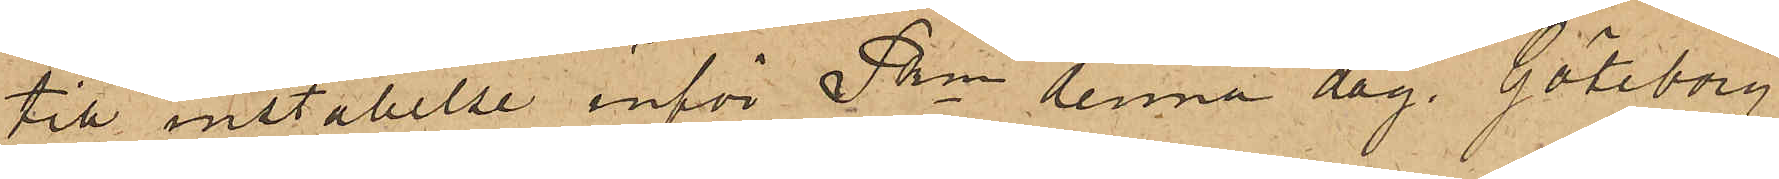till inställelse inför Pkn denna dag. Göteborg
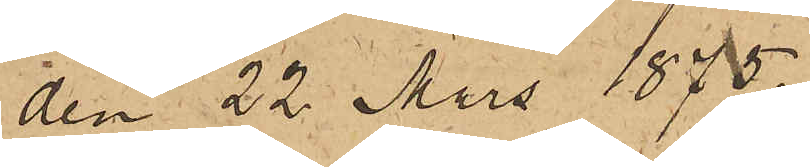den 22 Mars 1875.
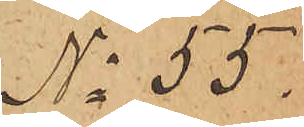No 55.
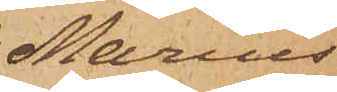Marius
